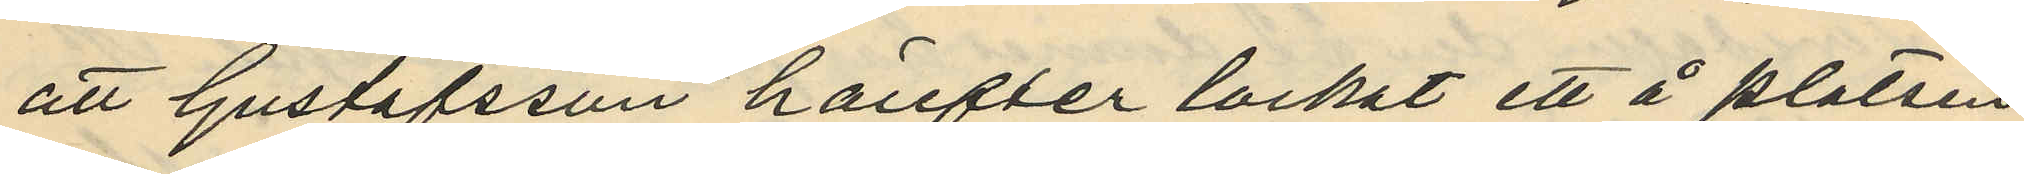att Gustafsson härefter lockat ett å platsen
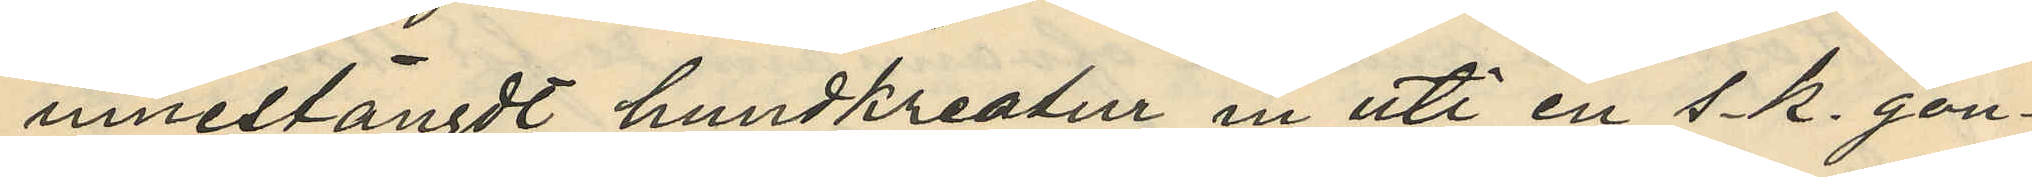innestängdt hundkreatur in uti en s. k. gon¬
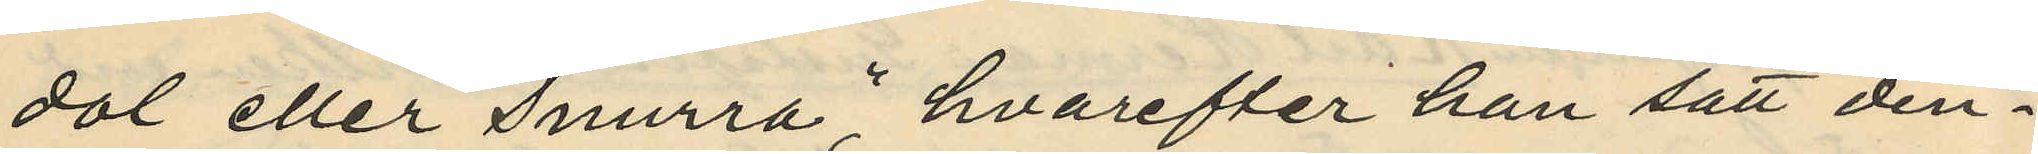dol eller "Snurra", hvarefter han satt den¬
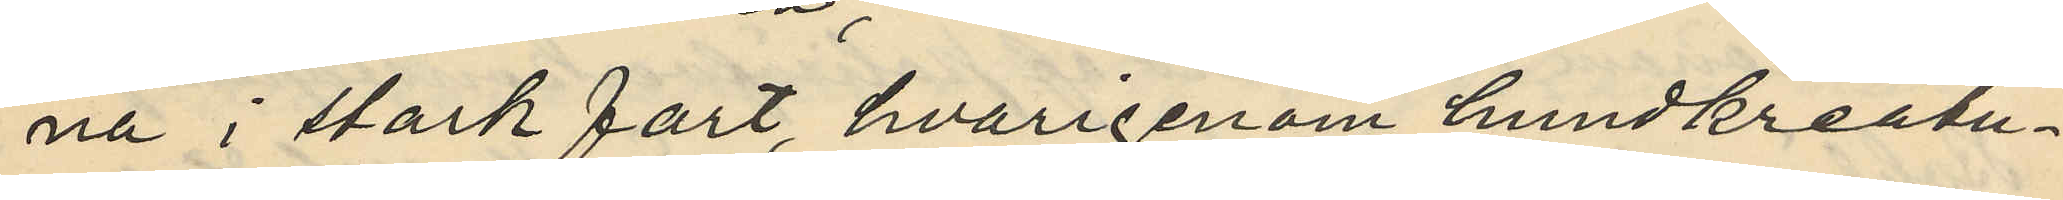na i stark fart hvarigenom hundkreatu¬
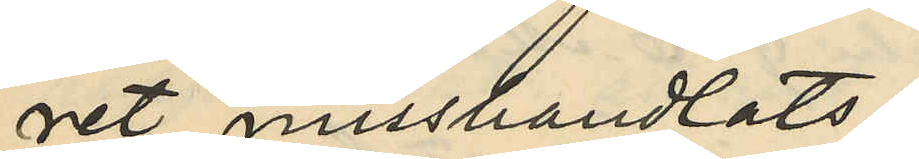ret misshandlats;
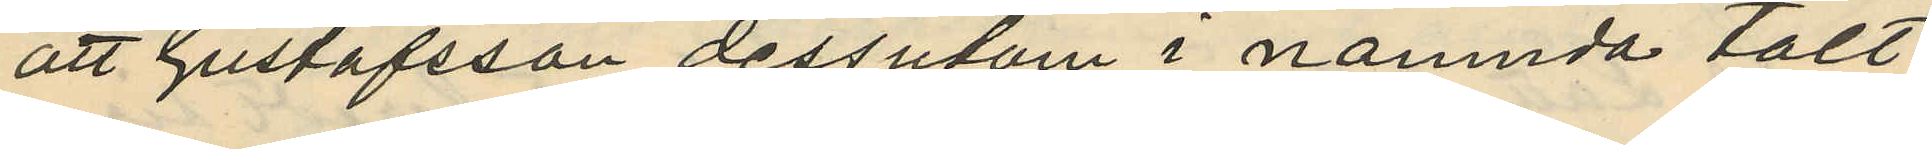att Gustafsson dessutom i nämnda tält
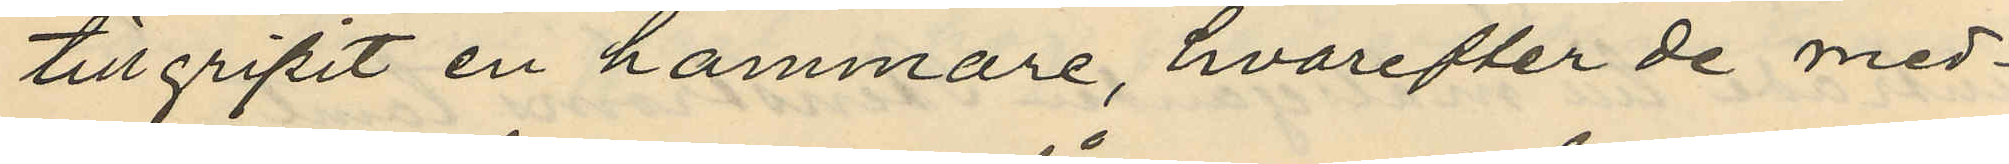tillgripit en hammare, hvarefter de med¬
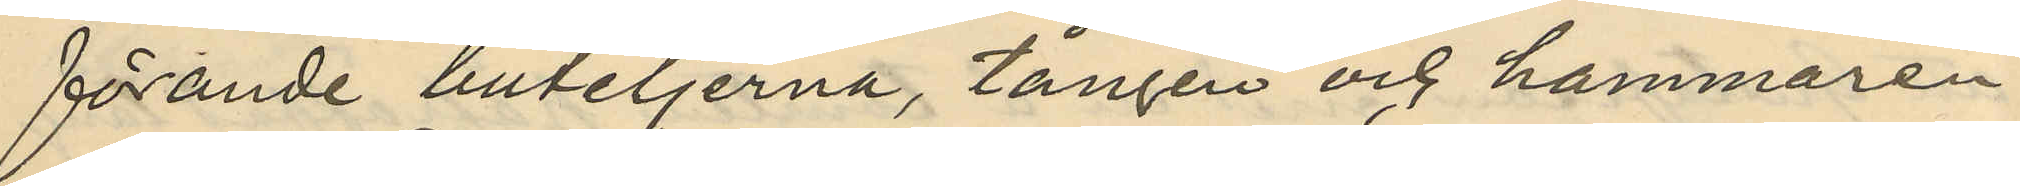förande buteljerna, tången och hammaren
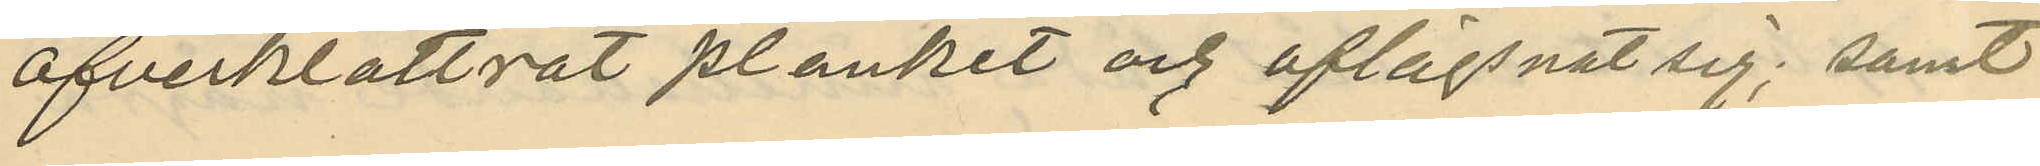öfverklättrat planket och aflägsnat sig; samt
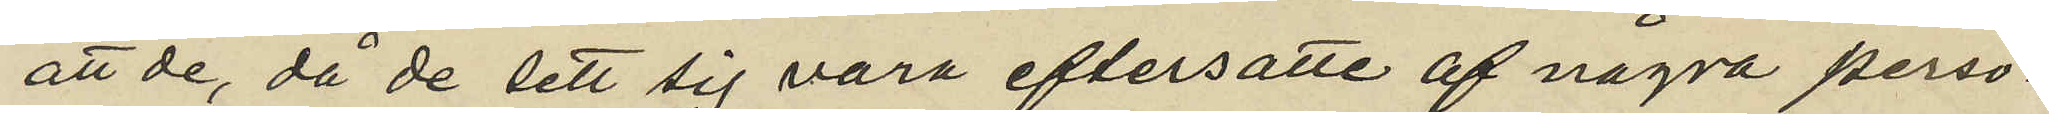att de, då de sett sig vara eftersatte af några perso¬
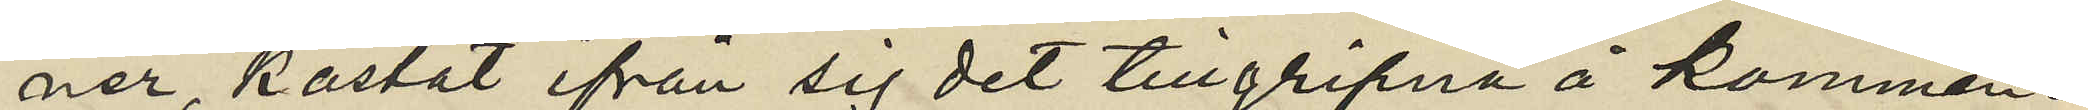ner, kastat ifrån sig det tillgripna å kommen¬
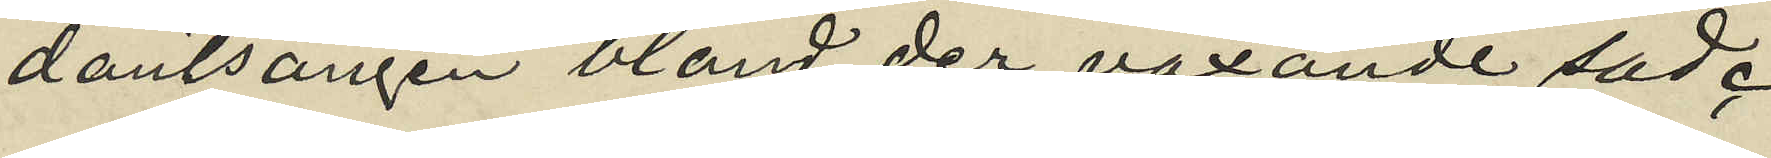dantsängen bland der växande säd.
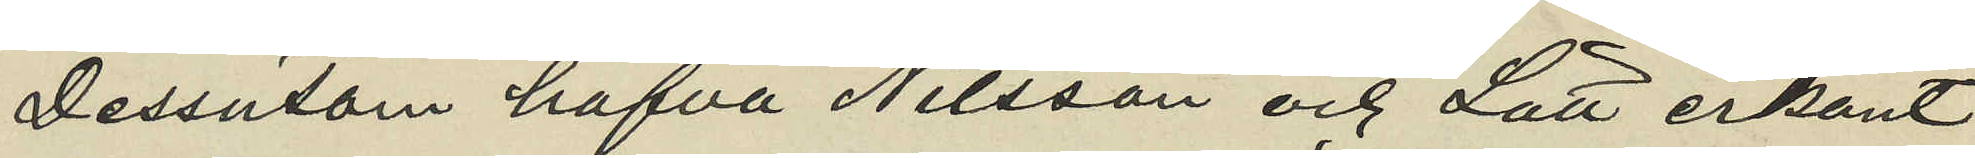Dessutom hafva Nilsson och Lätt erkänt
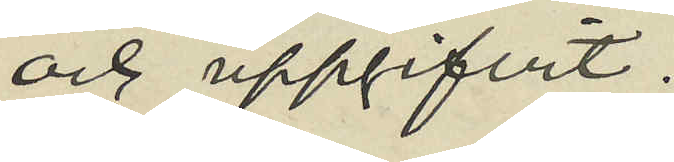och uppgifvit:
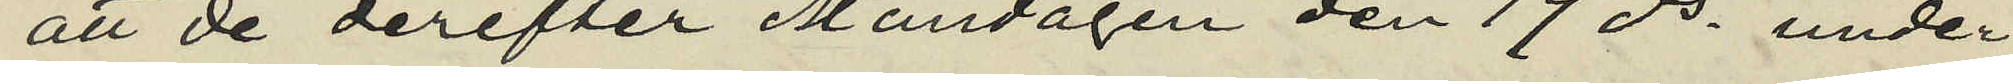att de derefter Måndagen den 19 ds under
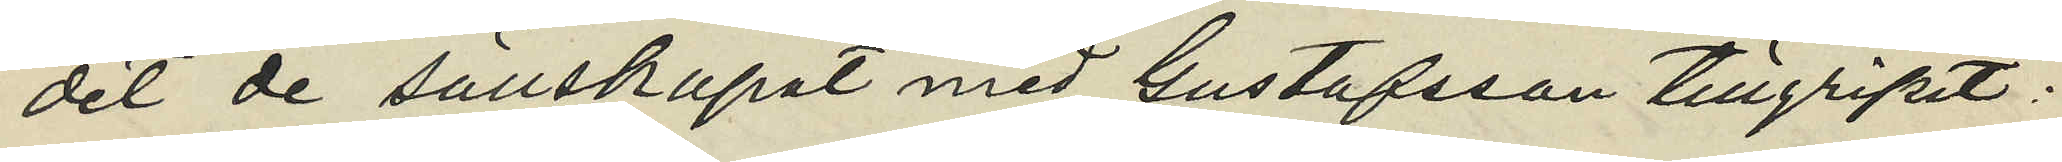det de sällskapat med Gustafsson tillgripit:
